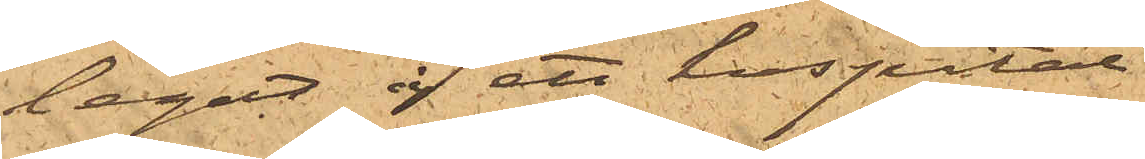legat å ett hospital
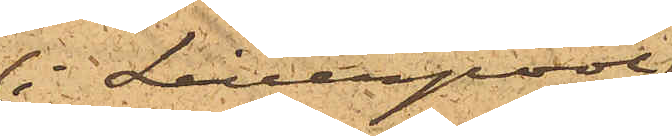 i Liverpool
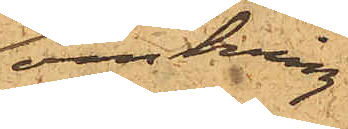omkring
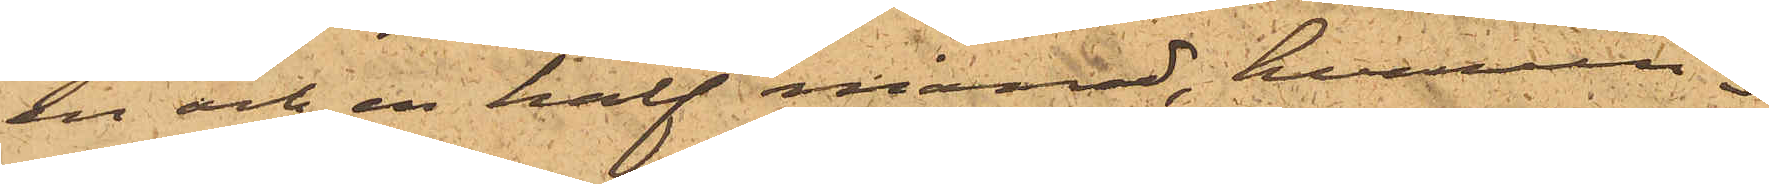en och en half månad, hvarun¬
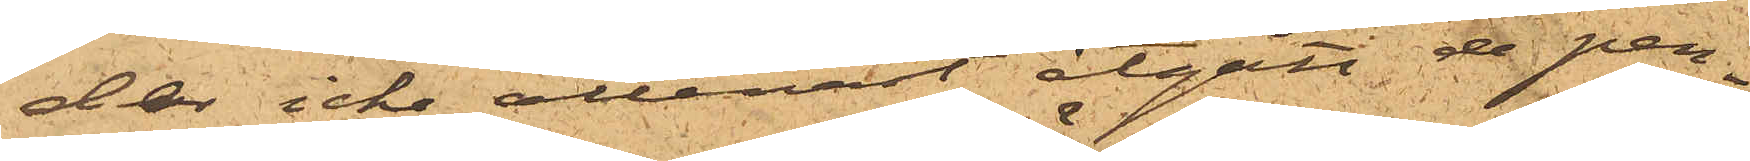der icke allenast åtgått de pen¬
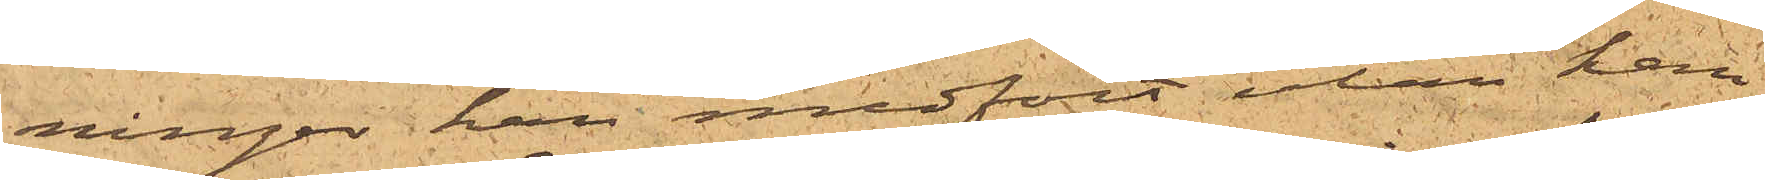ningar han medfört utan han
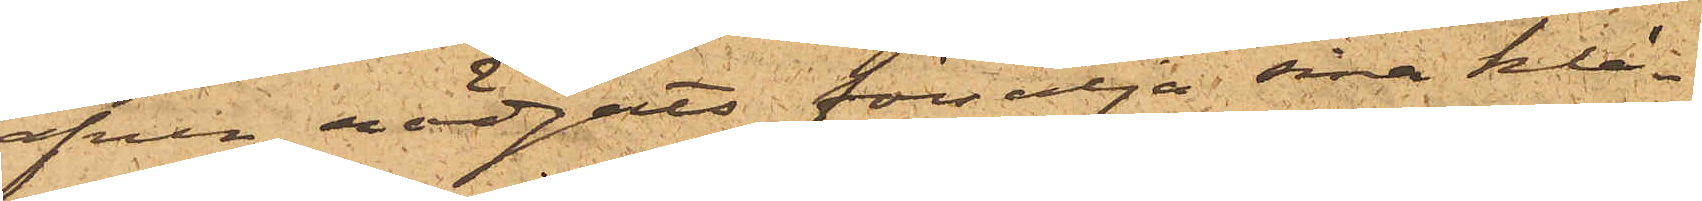äfven nödgats försälja sina klä¬
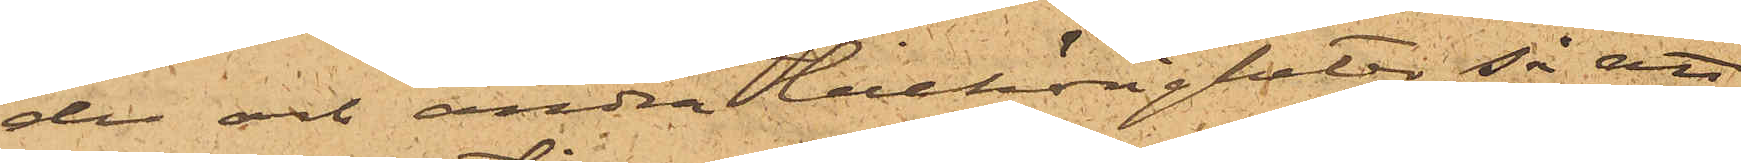der och andra tillhörigheter, så att
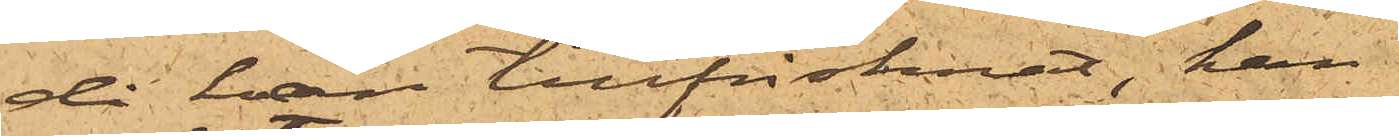då han tillfrisknat, han
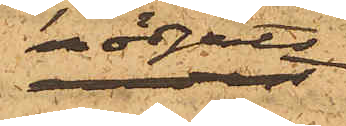nödgats
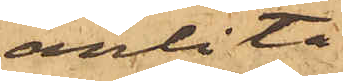anlita
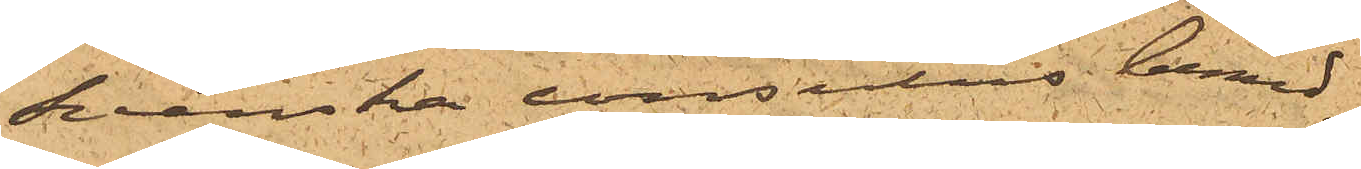svenska consulens bemed¬
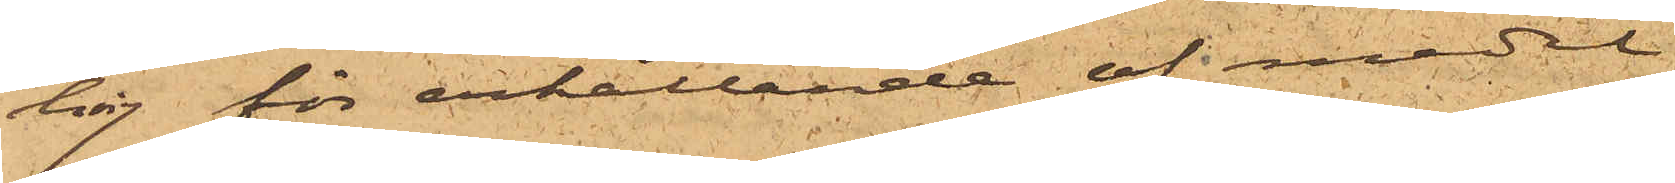ling för erhållande af medel
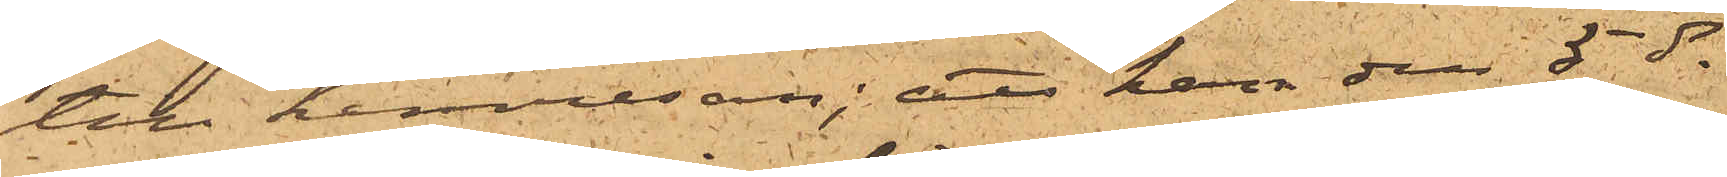till hemresan; att han den 5 ds
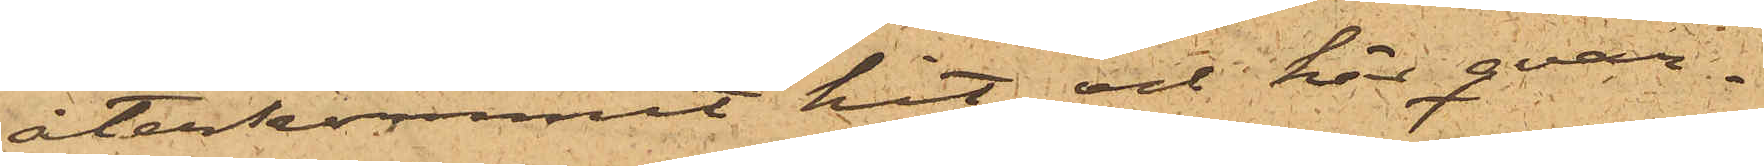återkommit hit och här qvar¬
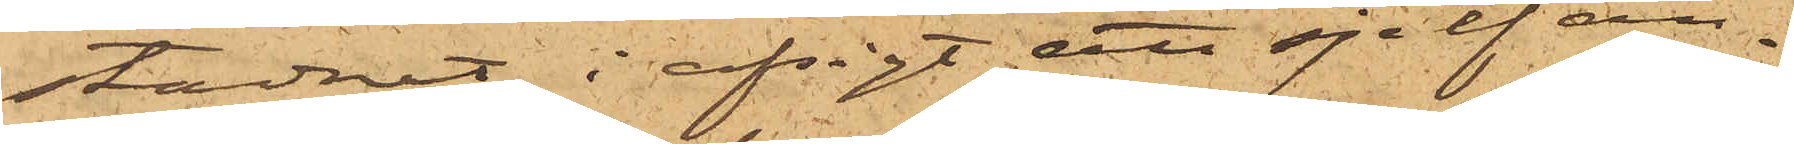stadnat i afsigt att sjelf an¬
